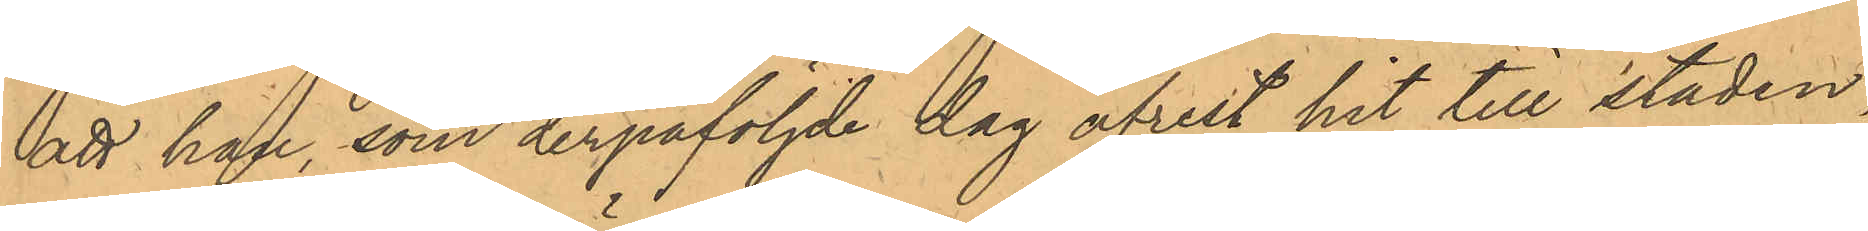att han, som derpåföljde dag afrest hit till staden,
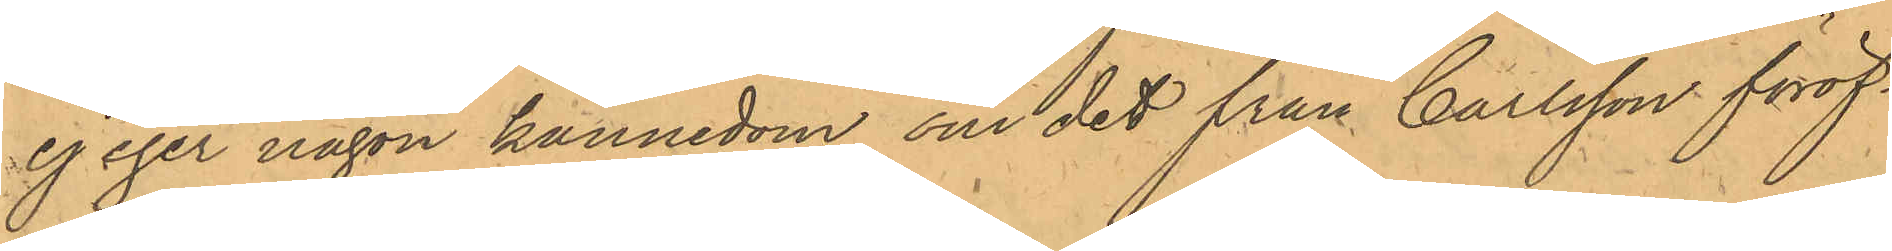ej eger någon kännedom om det från Carlsson föröf¬
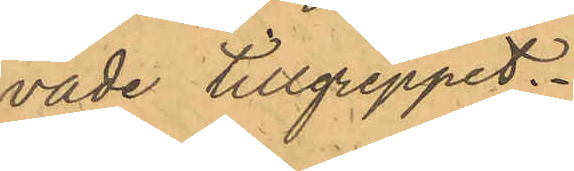vade tillgreppet.
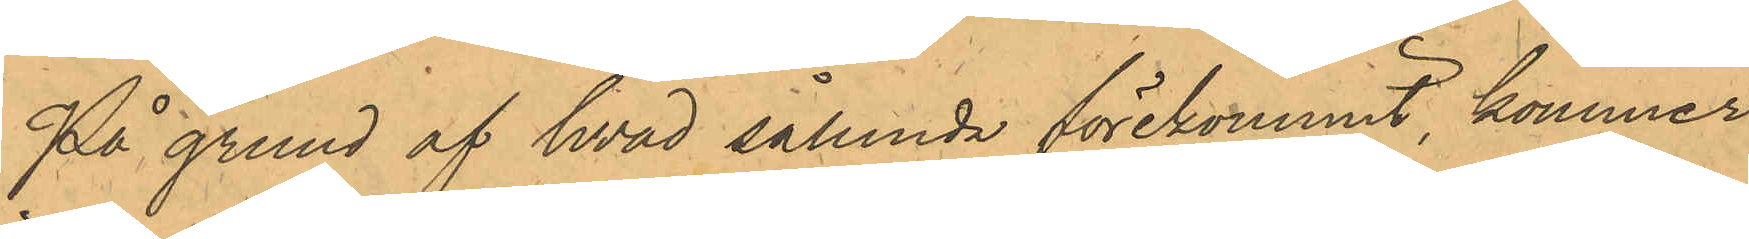På grund af hvad sålunda förekommit, kommer
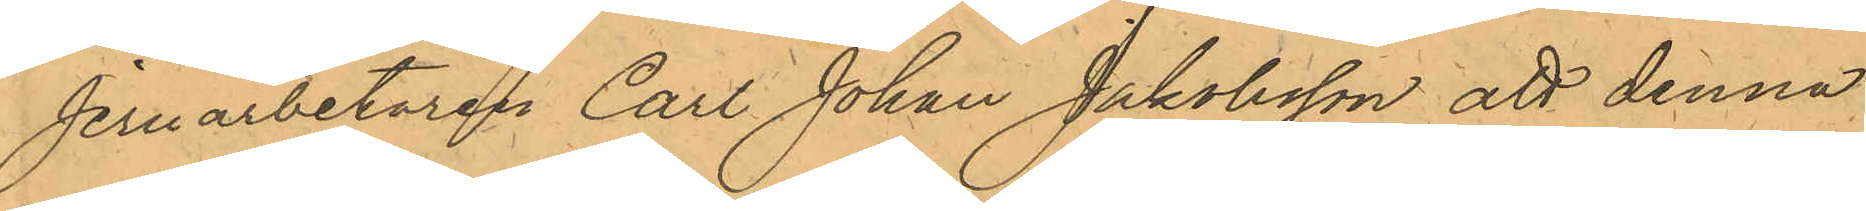Jernarbetaren Carl Johan Jakobsson att denna
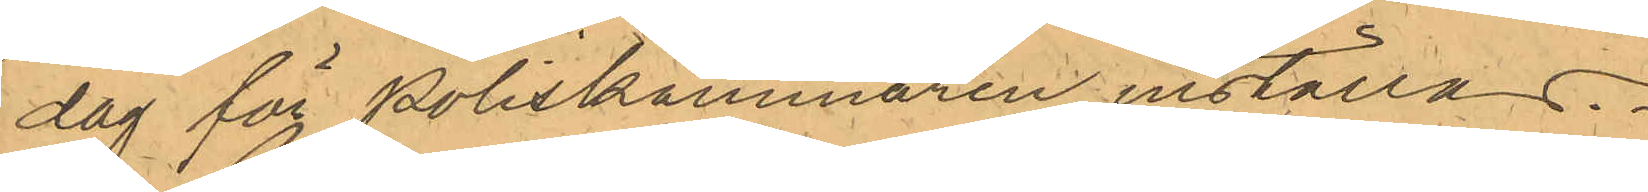dag för Poliskammaren inställas.
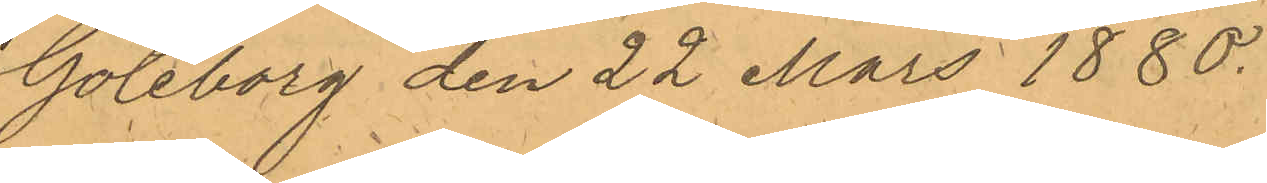Göteborg den 22 Mars 1880.
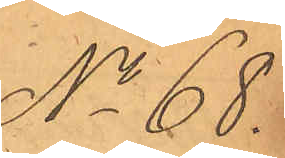No 68.
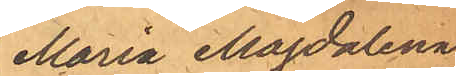Maria Magdalena
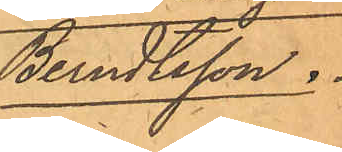Berndtsson.
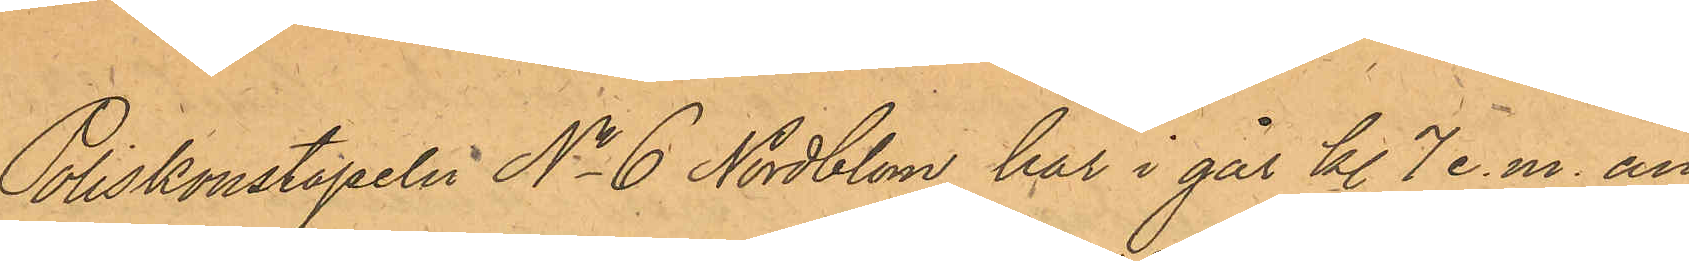Poliskonstapeln No 6 Nordblom har i går kl. 7 e.m. an¬
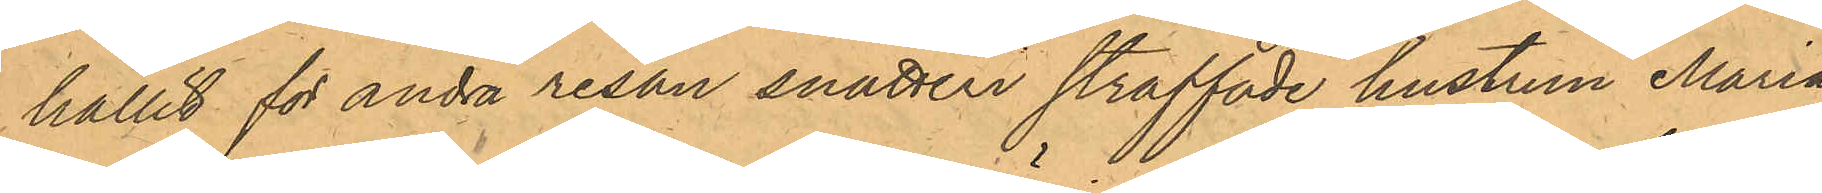hållit för andra resan snatteri straffade hustrun Maria
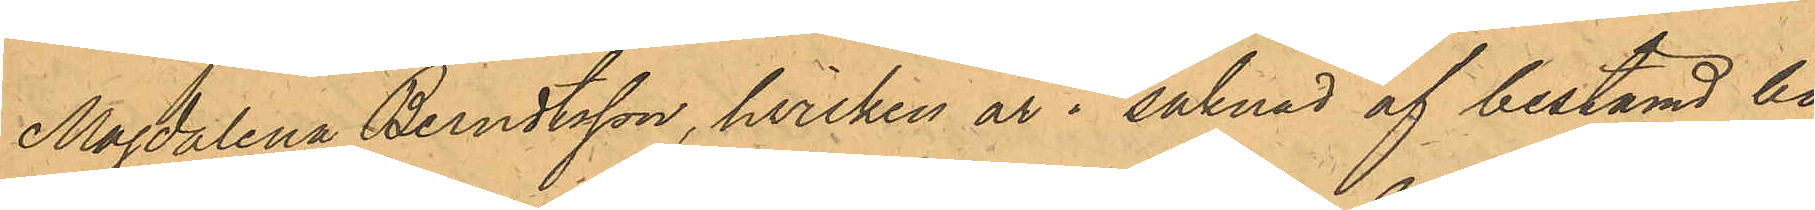Magdalena Berndtsson, hvilken är i saknad af bestämd bo¬
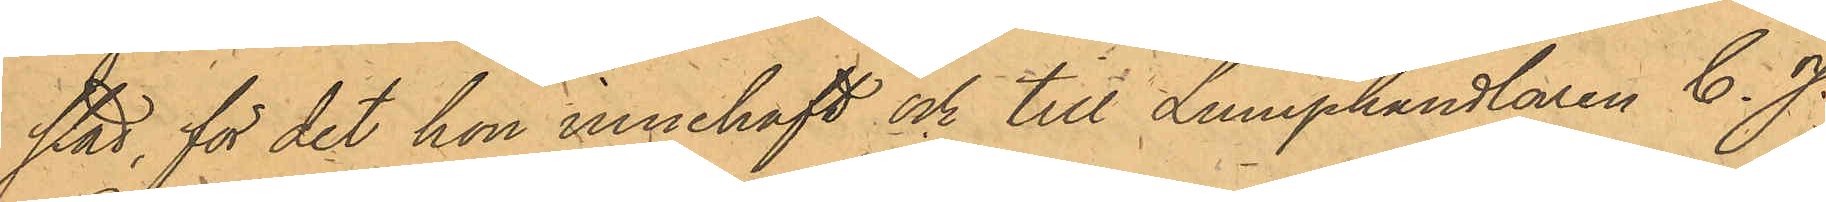stad, för det hon innehaft och till Lumphandlaren C. J.
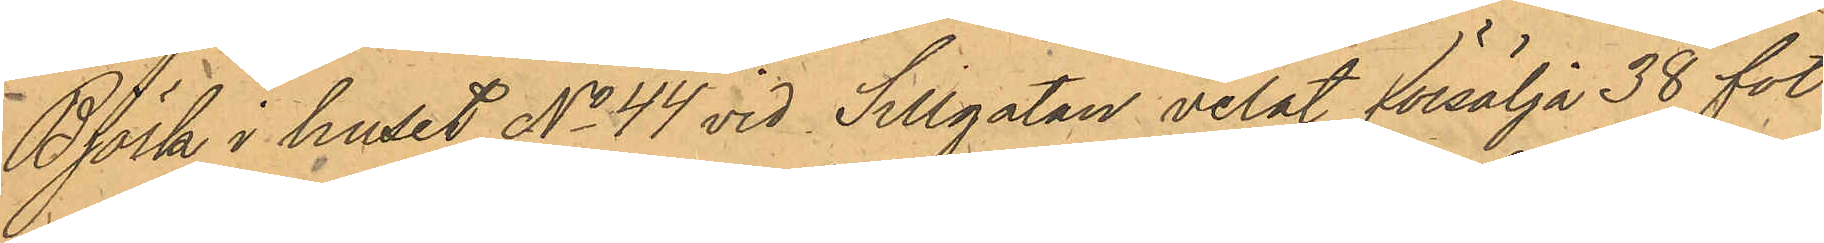Björk i huset No 44 vid Sillgatan velat försälja 38 fot
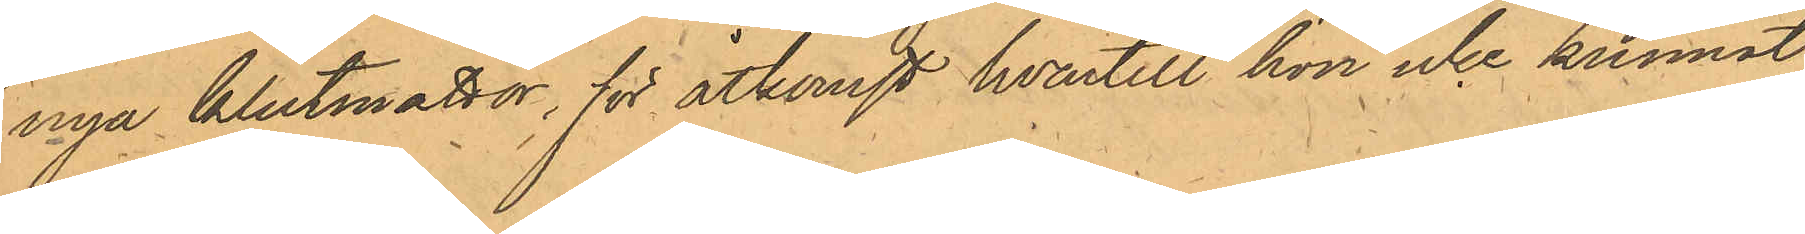nya klutmattor, för åtkomst hvartill hon icke kunnat
